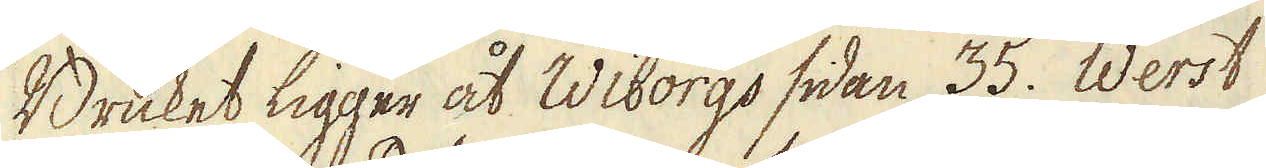Bruket ligger åt Wiborgs sidan 35. Werst
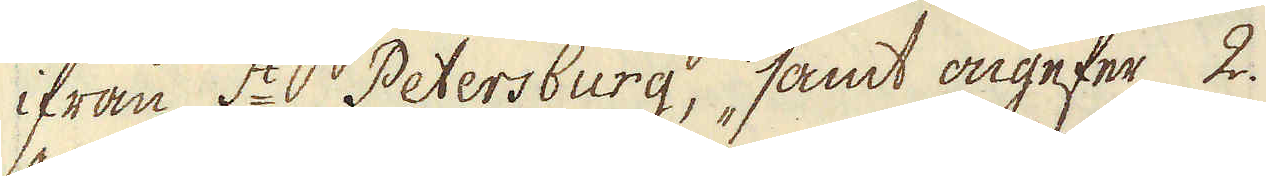ifrån S:t Petersburg, samt ongefär 2.
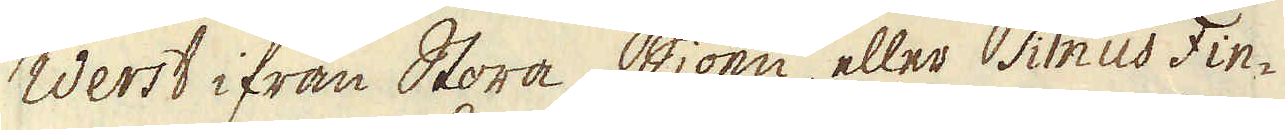Werst ifrån Stora Siöen, eller Sinus Fin-
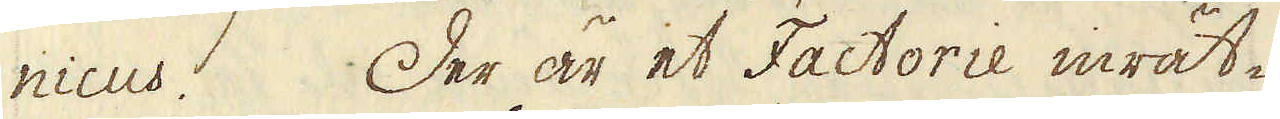nicus. Der är et Factorie inrät-
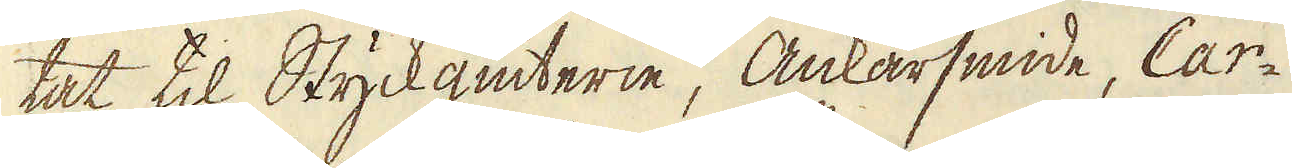tat til Styckgiuterie, Ankarsmide, Car-
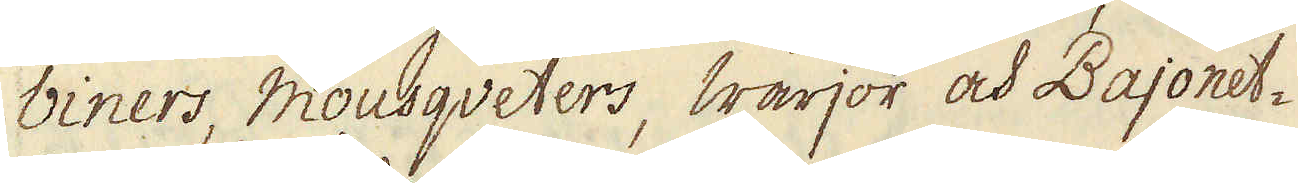biners, Mousqveters, Wärjor och Bajonet-
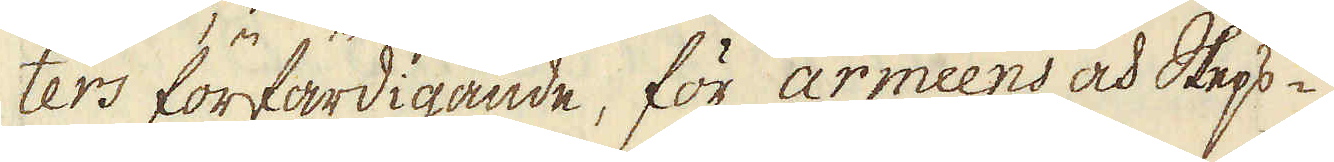ters förfärdigande, för armeens och Skeps-
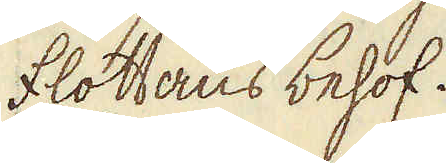flottans behof.
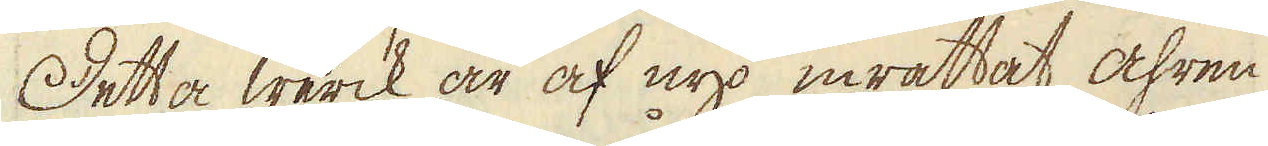Detta werck är af nyo inrättat åhren
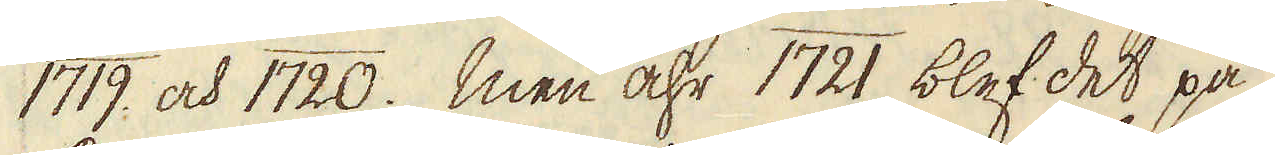1719. och 1720. Men åhr 1721 blef det på
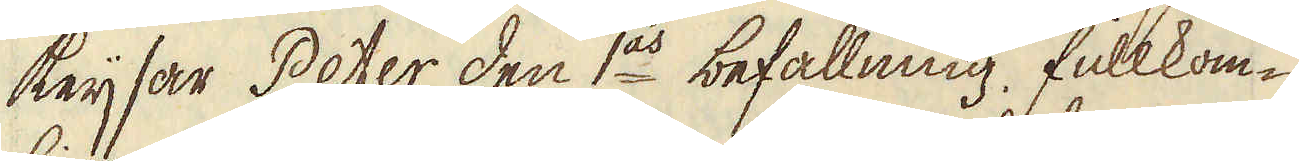Keijsar Peter den 1:as befallning, fullkom-
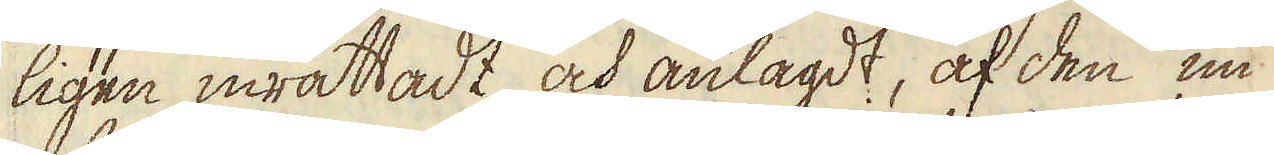ligen inrättadt och anlagdt, af den nu
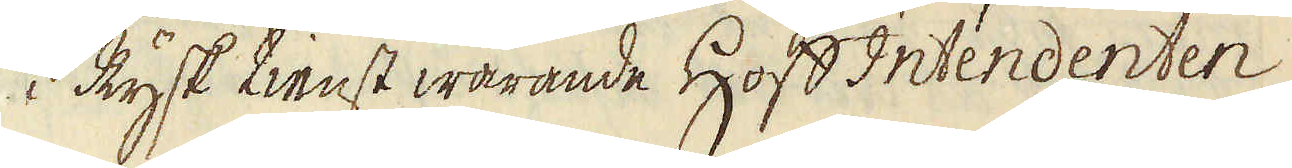i Rysk tienst warande Hofs Intendenten
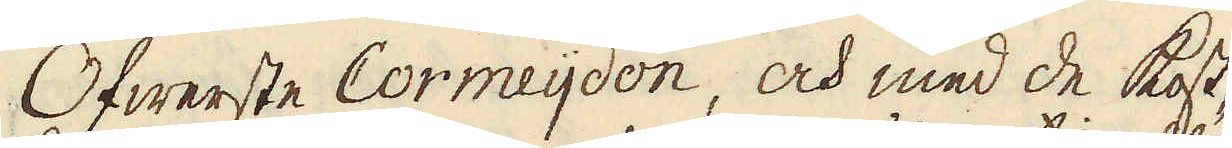Öfwerste Cormeijdon, och med de kost-
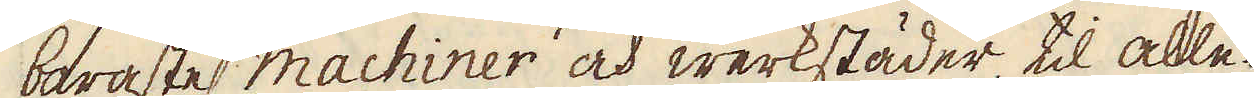baraste machiner och werkstäder, til alle-
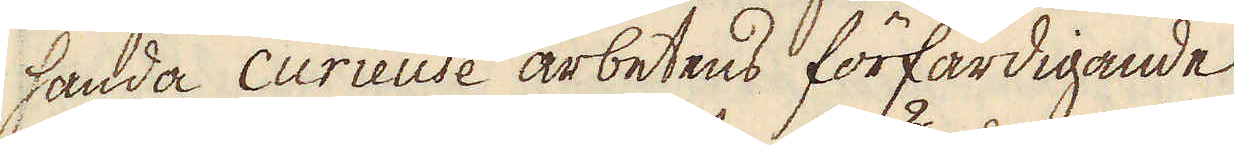handa curieuse arbetens förfärdigande
